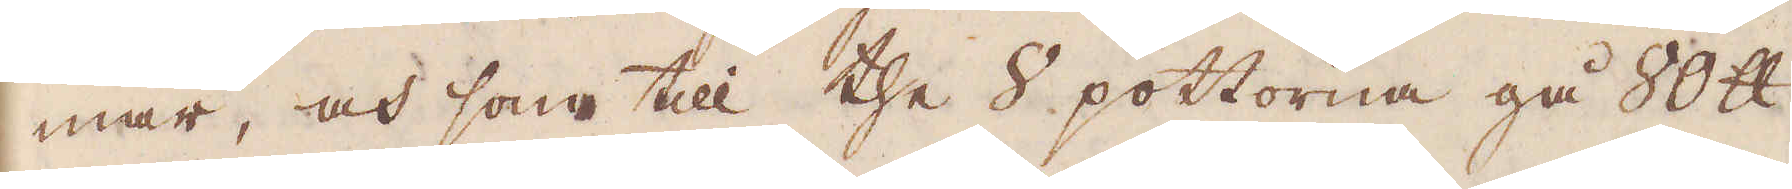mar, och som till the 8 pottorna gå 80 skålpund
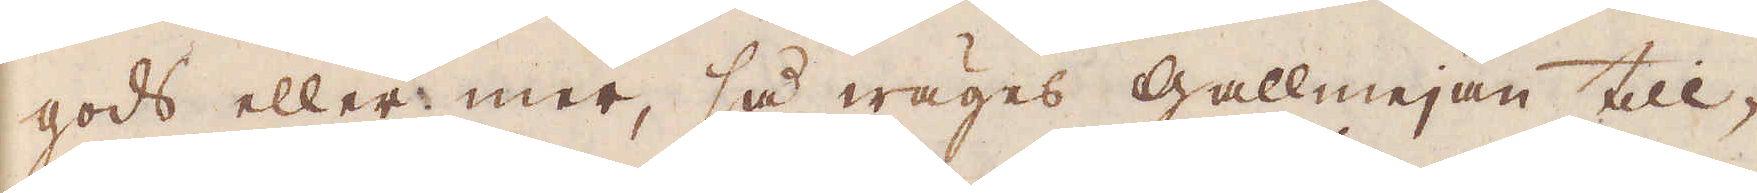gods eller mer, så wäges gallmejan till-
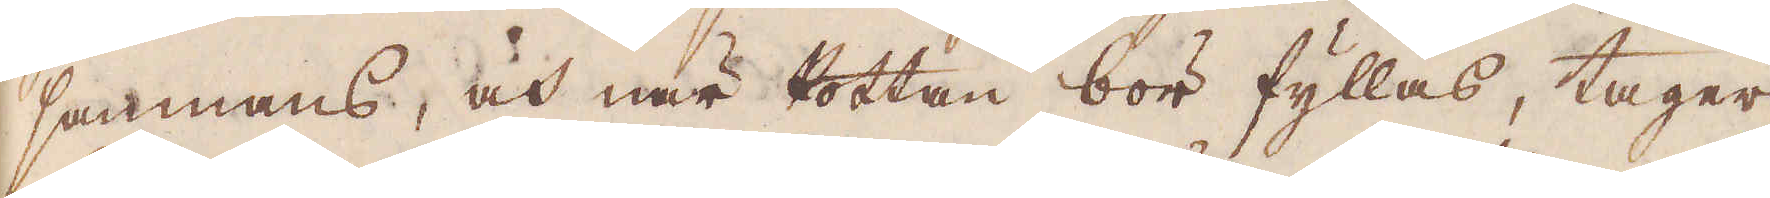sammans, och när Pottan bör fyllas, tager
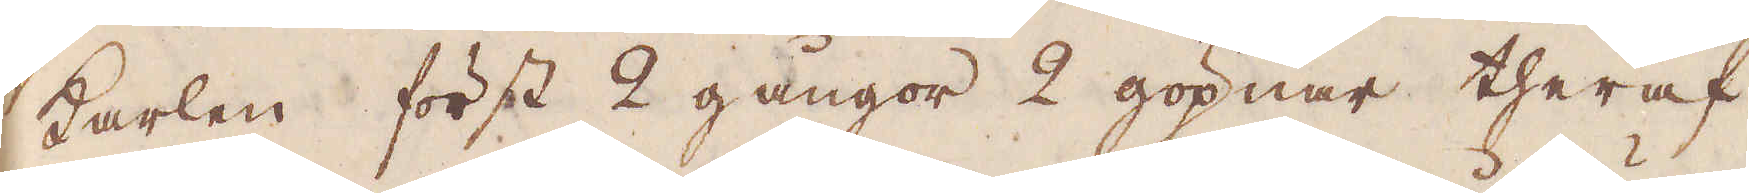karlen först 2 gångor 2 göpnar theraf
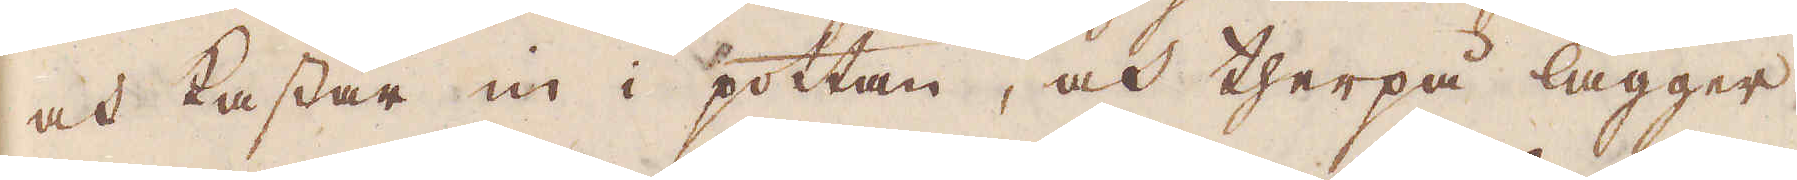och kastar in i pottan, och therpå lägger
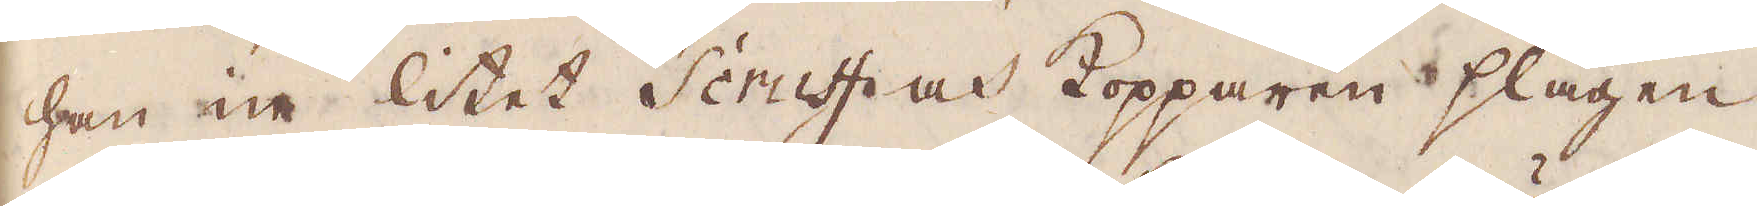han in litet Scruff och Kopparen slagen
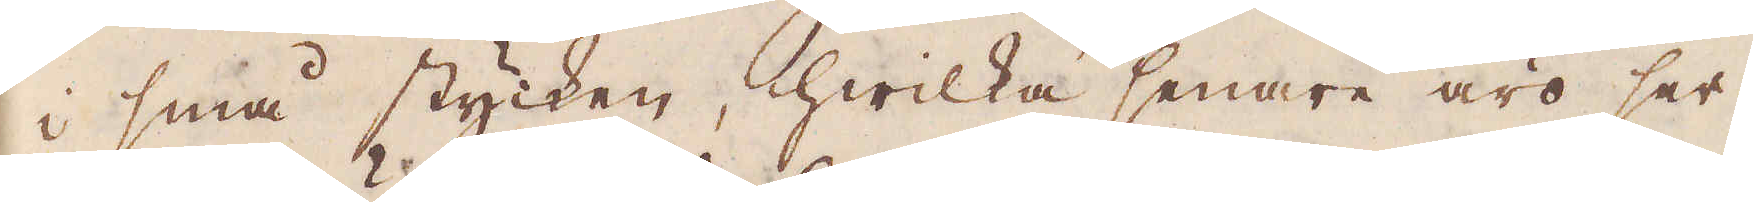i små stycken, hwilka senare äro ser-
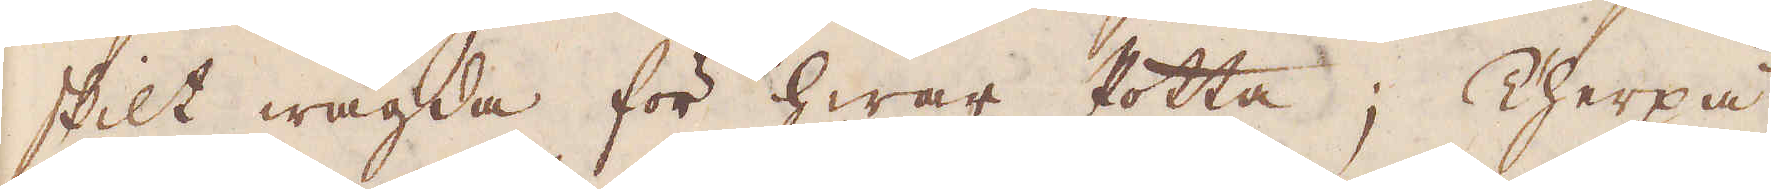skilt wägda för hwar Potta; Therpå
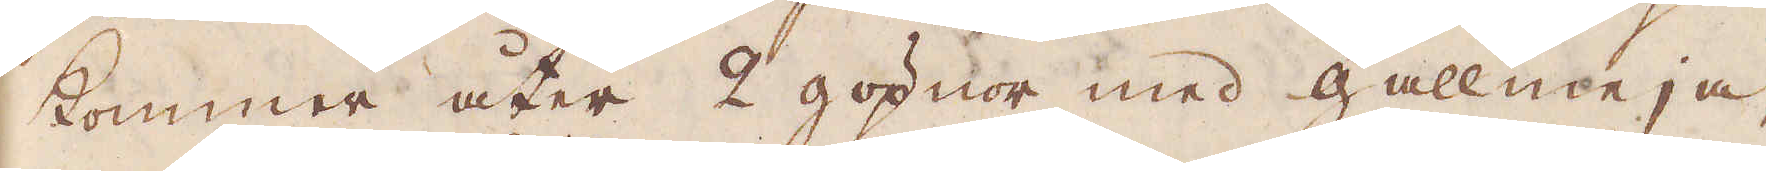kommer åter 2 göpnor med gallmeja,
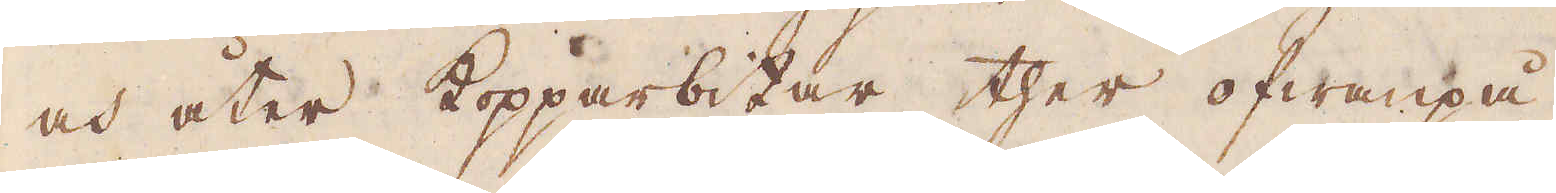och åter kopparbitar ther ofwanpå.
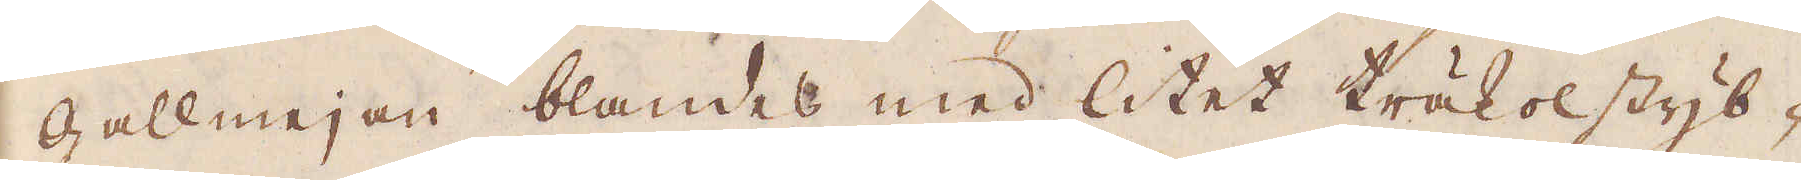Gallmejan blandes med litet träkolstyb-
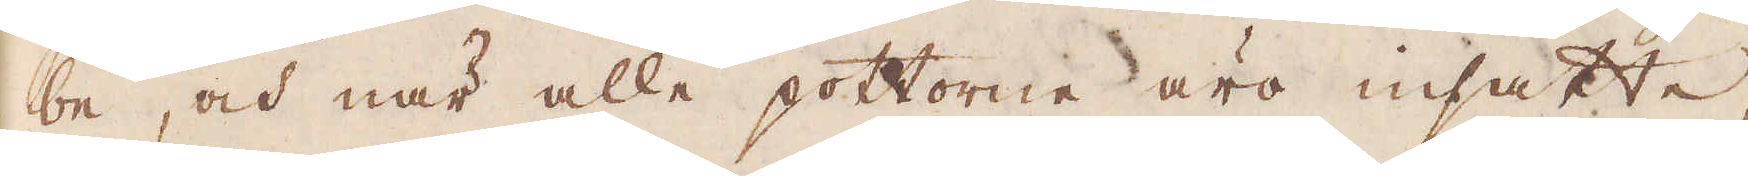be, och när alla pottorne äro insatte,
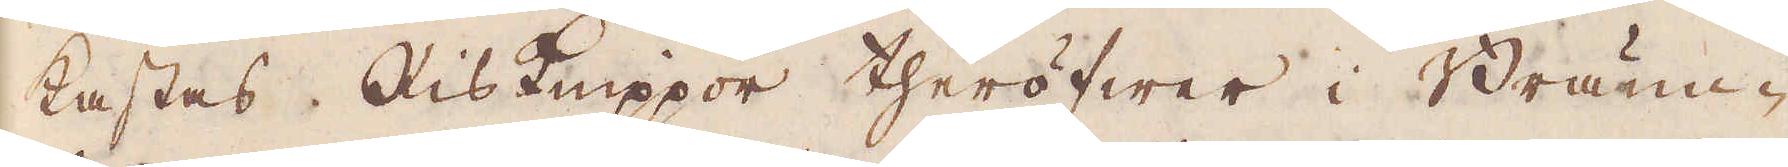kastes Risknippor theröfwer i Bränn-
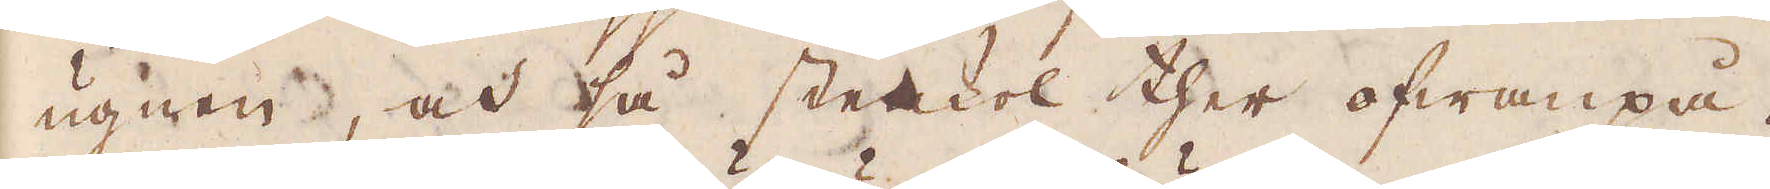ugnen, och så stenkol ther ofwanpå.
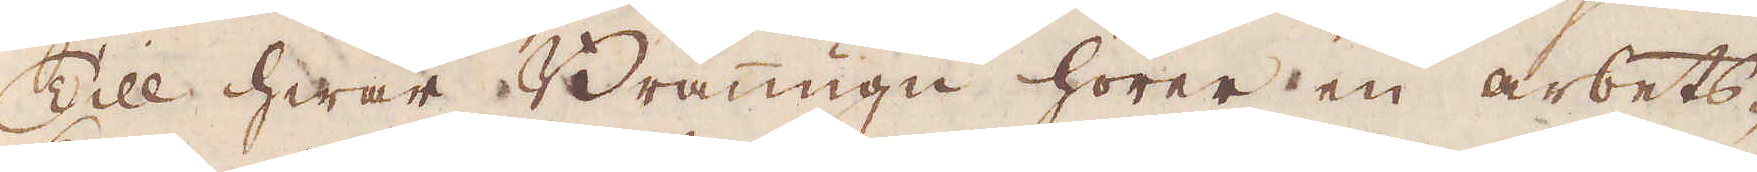Till hwar Bränugn hörer en arbets-
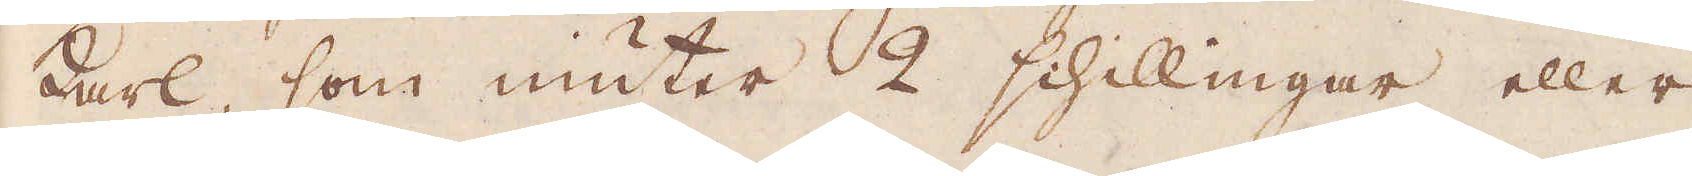karl, som niuter 2 schillingar eller
